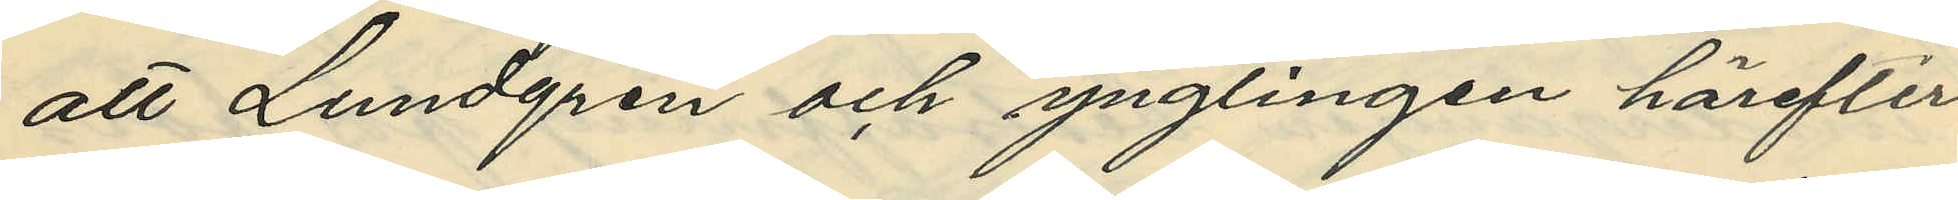att Lundgren och ynglingen härefter
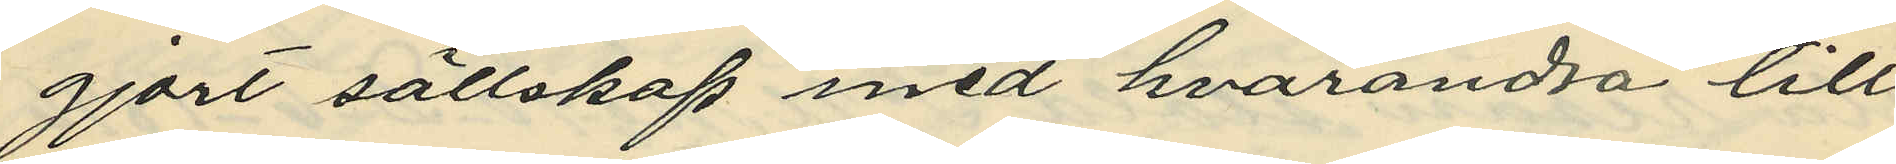gjort sällskap med hvarandra till
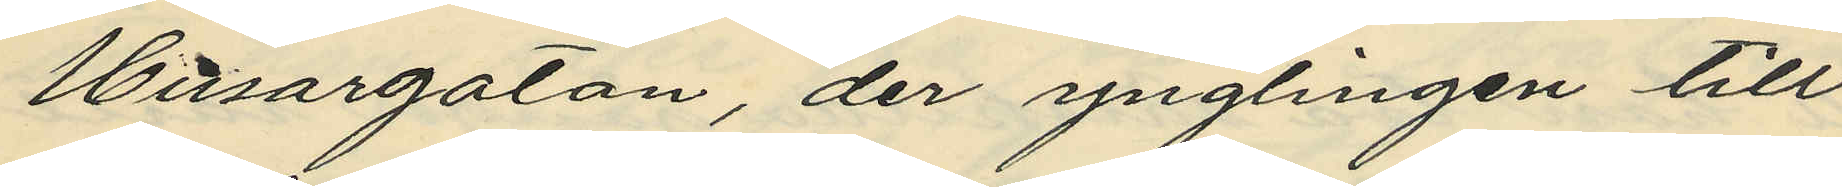Husargatan, der ynglingen till
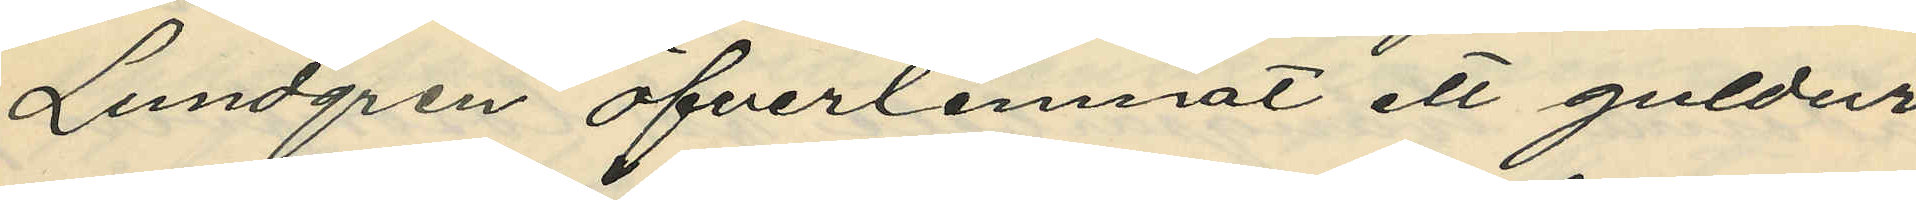Lundgren öfverlemnat ett guldur
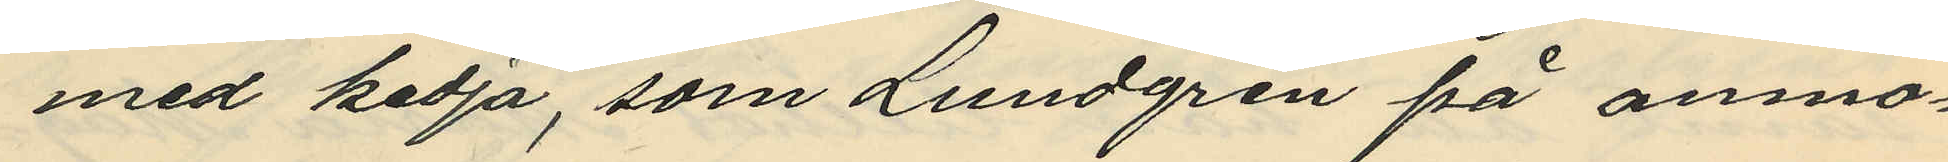med kedja, som Lundgren på anmo¬
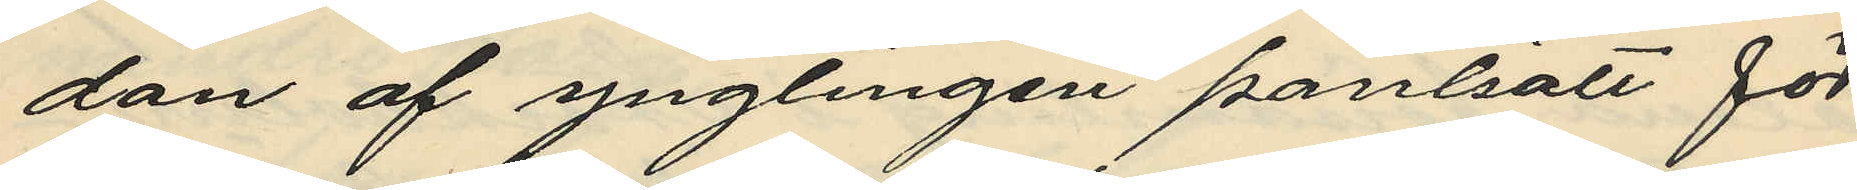dan af ynglingen pantsatt för
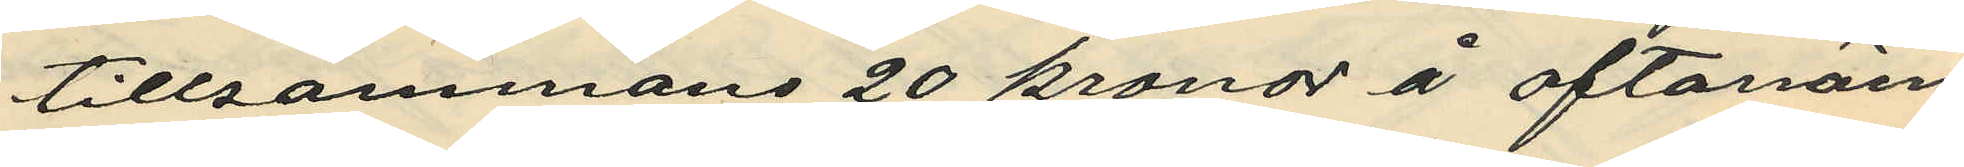tillsammans 20 kronor å oftanäm¬
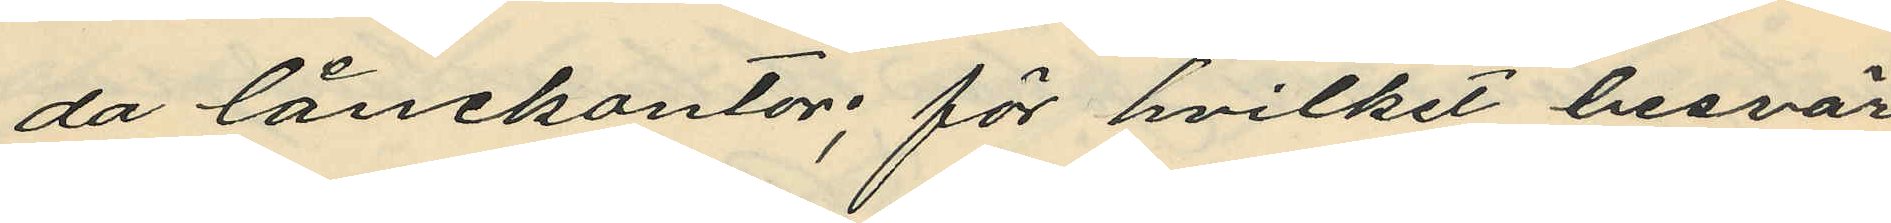da lånekontor; för hvilket besvär
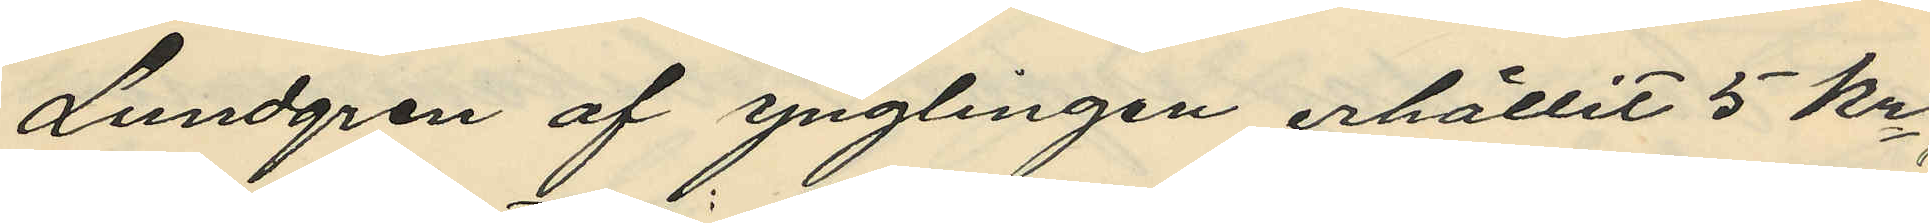Lundgren af ynglingen erhållit 5 kr.;
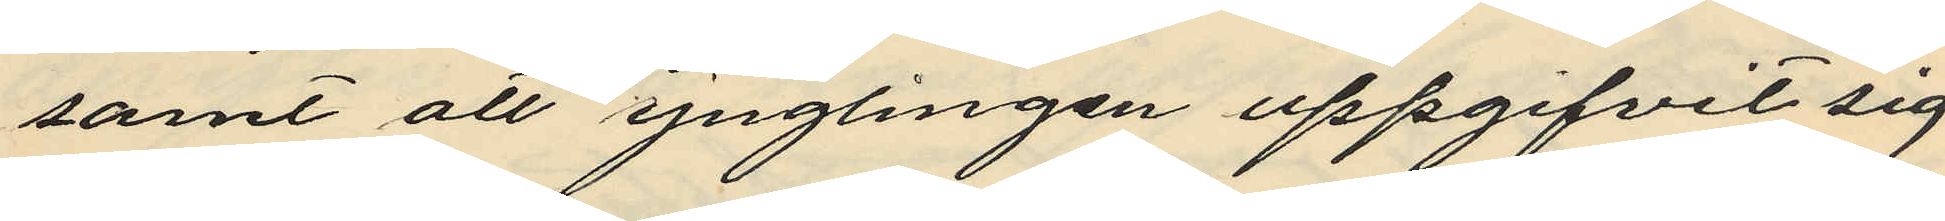samt att ynglingen uppgifvit sig
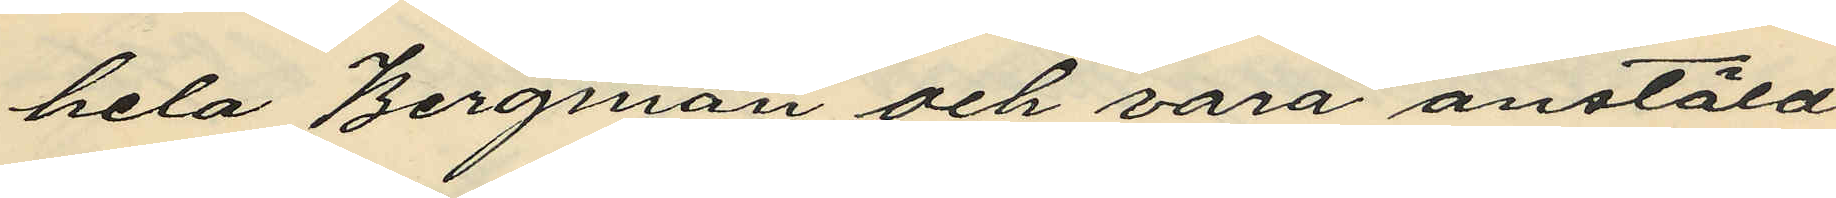hela Bergman och vara anstäld
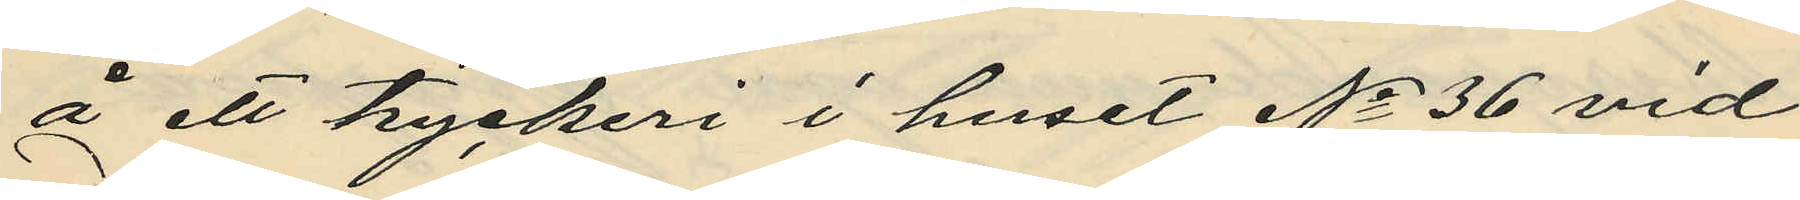å ett tryckeri i huset No 36 vid
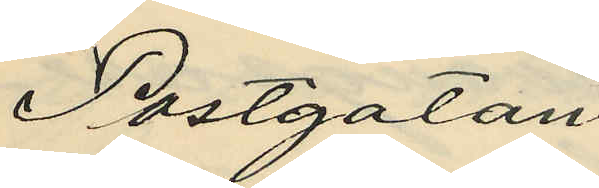Postgatan.
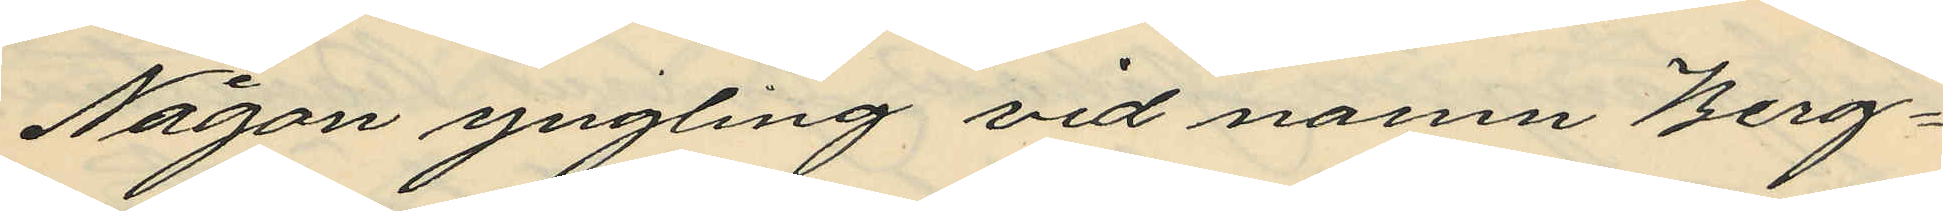Någon yngling vid namn Berg¬
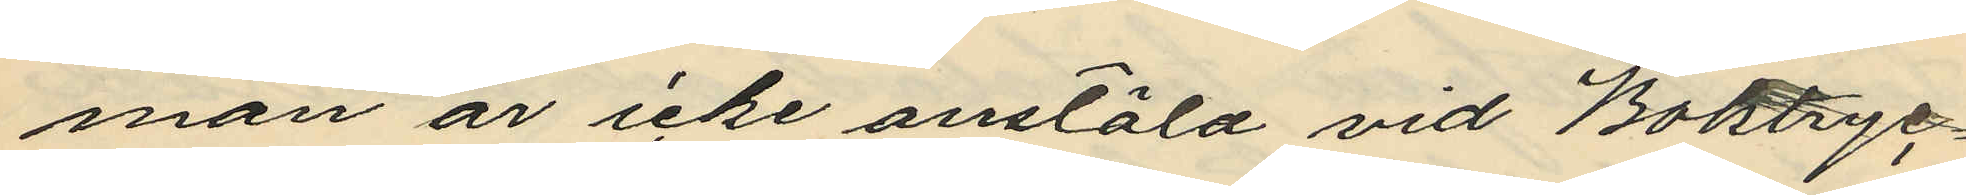man är icke anstäld vid Boktryc¬
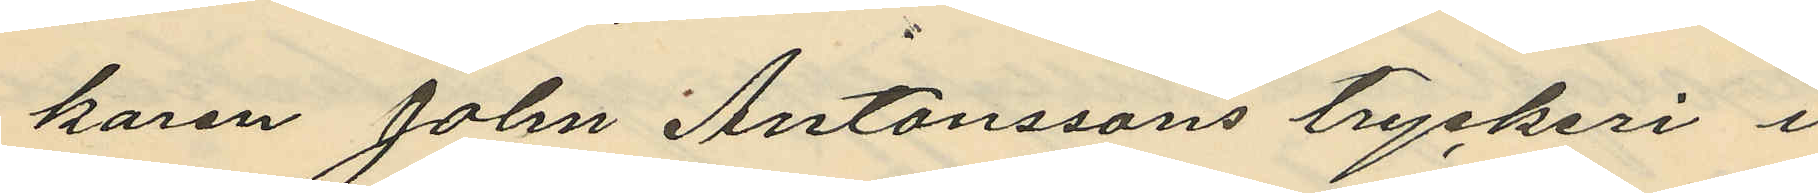karen John Antonssons tryckeri i
